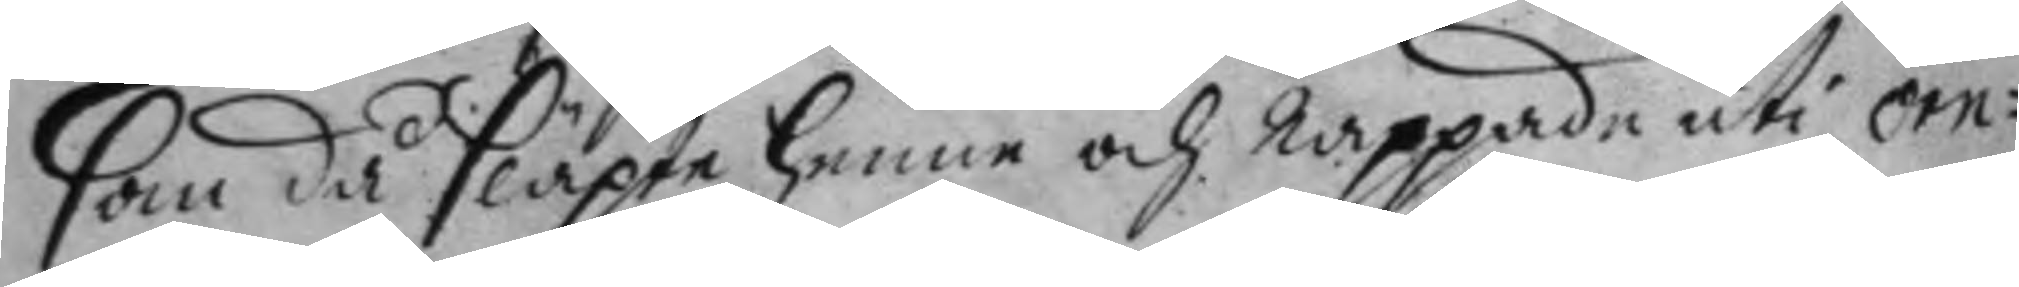som då släppte henne och rappade uti örn¬
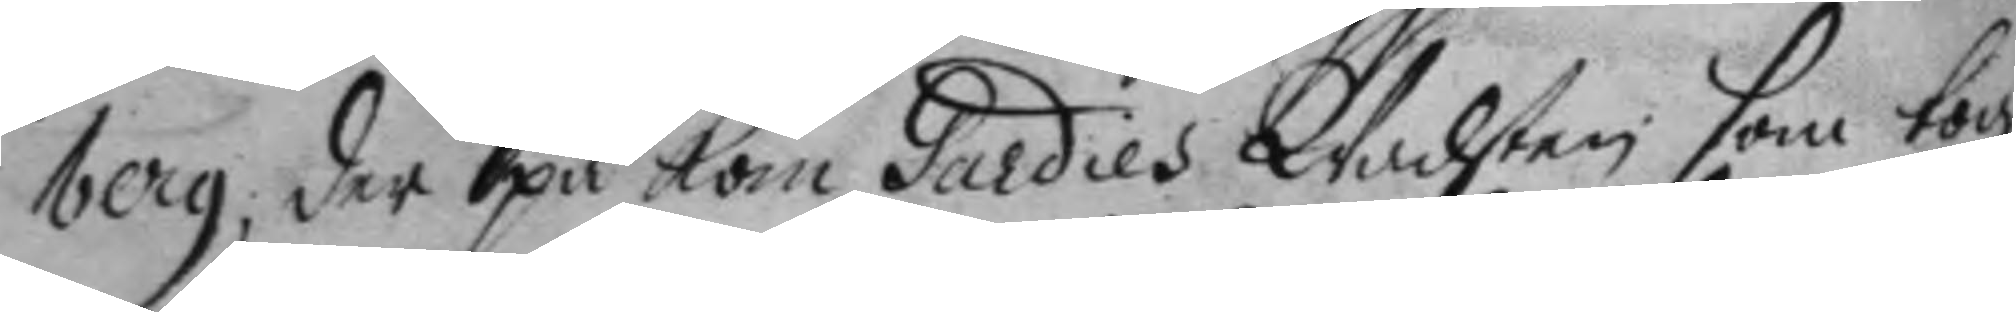berg, der på kom Gardies Wachten som tog
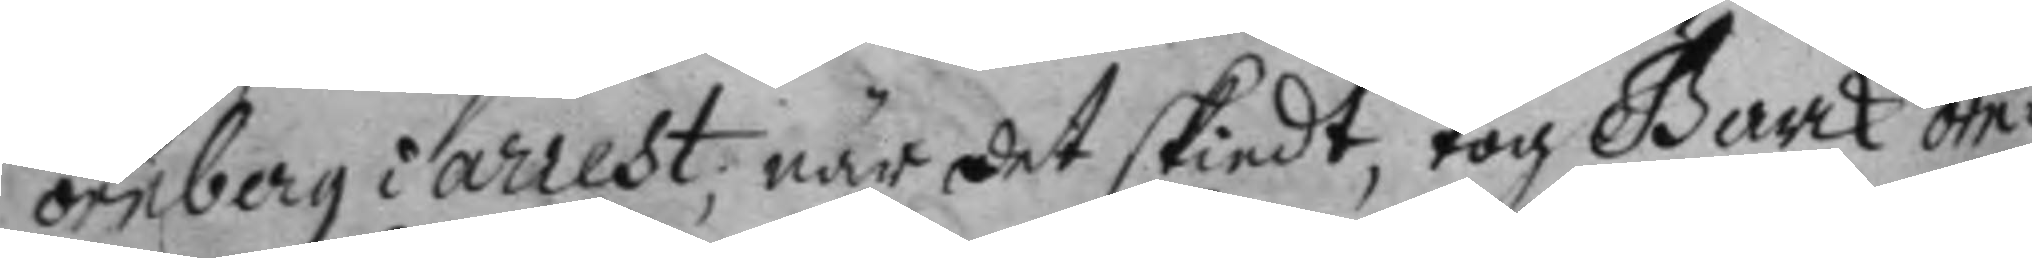örnberg i arrest, när det skiedt, tog Barck örn¬
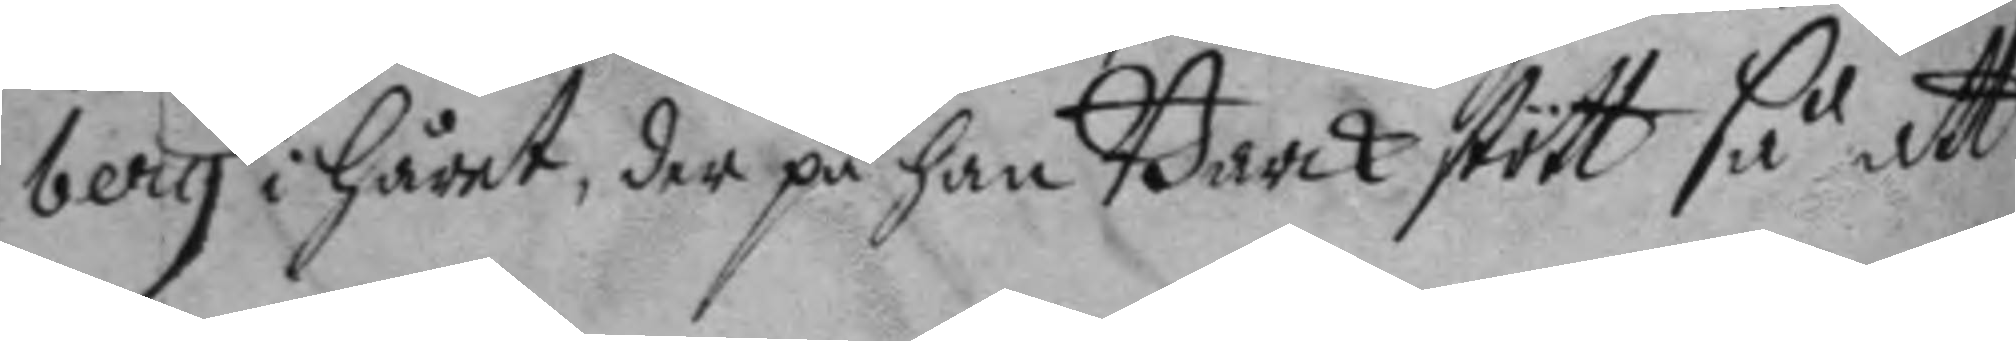berg i håret, der på han Barck stött så att
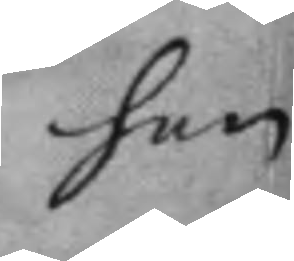han
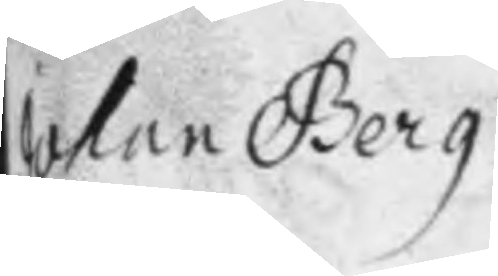Johan Berg
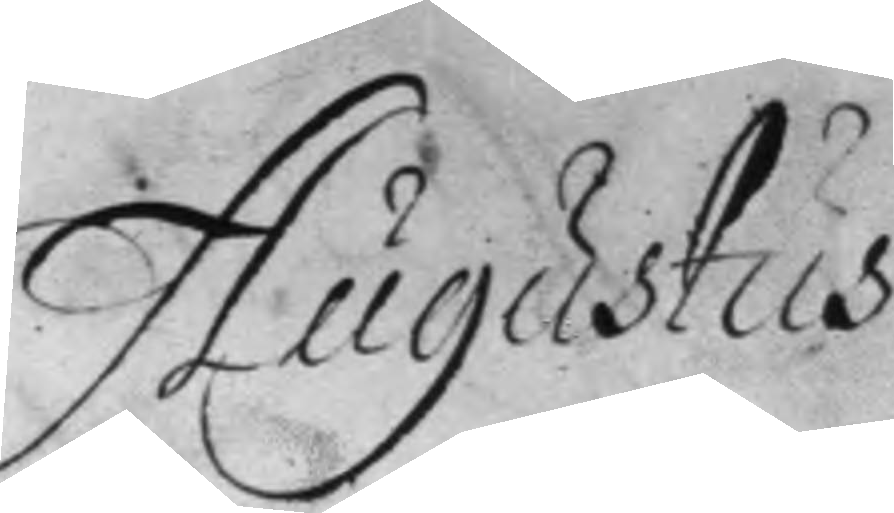Augustus
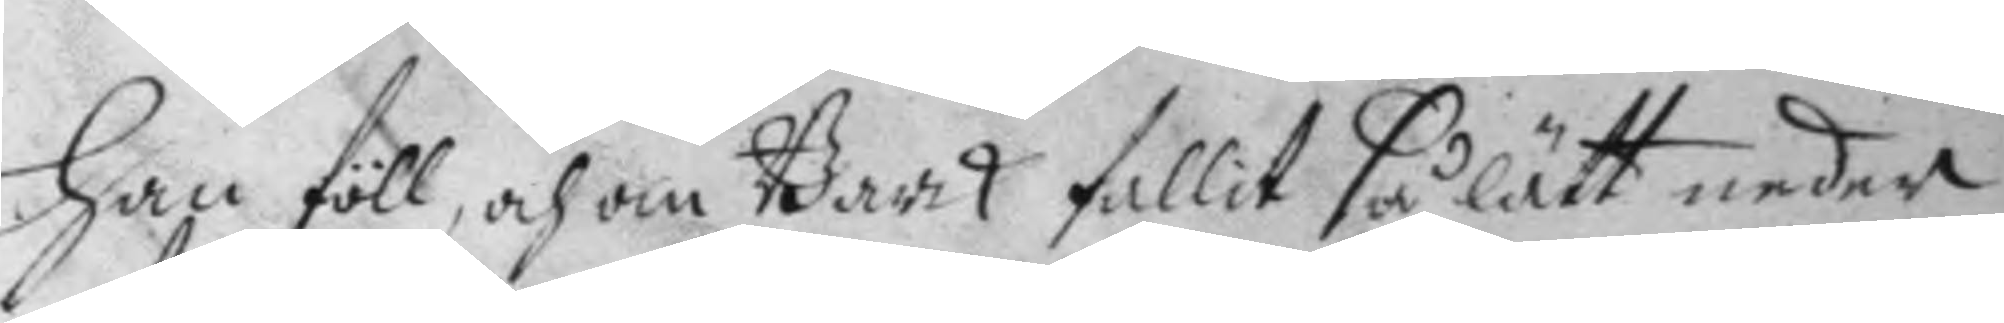han föll, och om Barck fallit så lätt neder
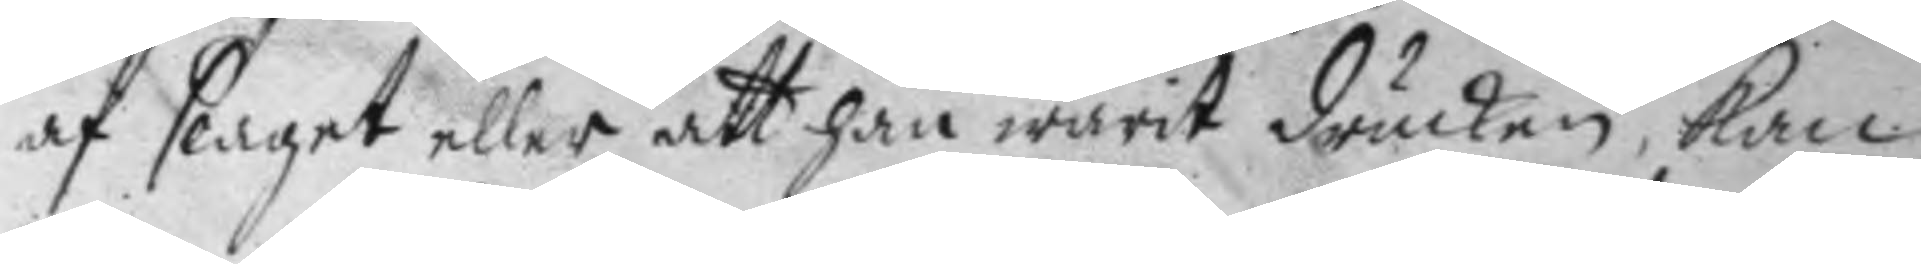af slaget eller att han warit drucken, kan
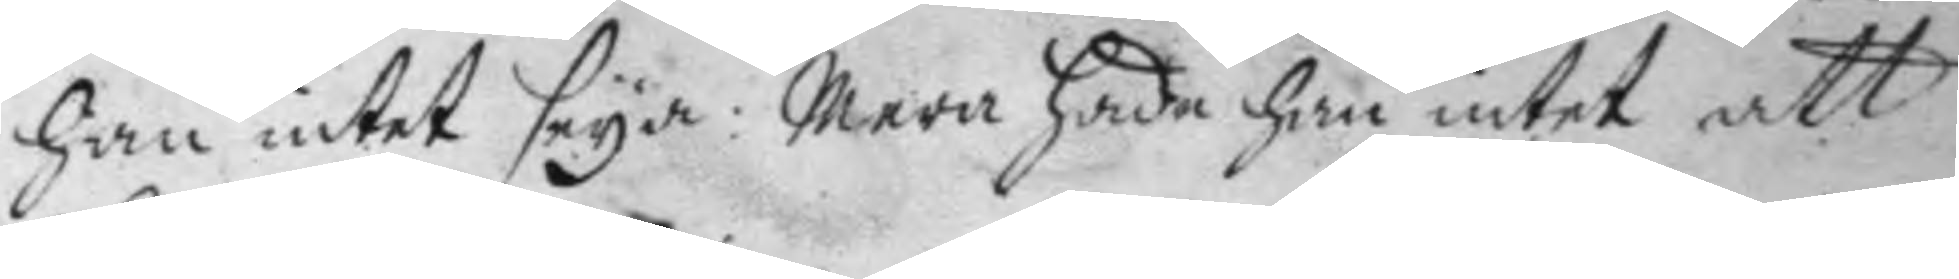han intet  seya: mera hade han intet att
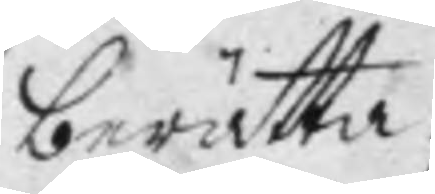berätta.
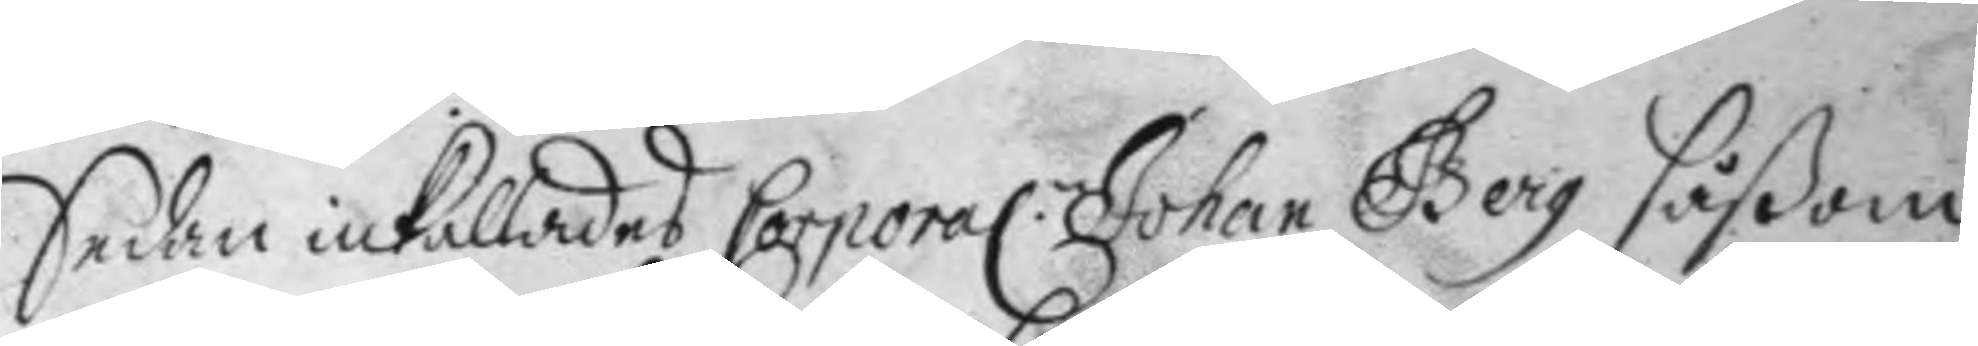Sedan inkallades Corporl.n Johan Berg såßom
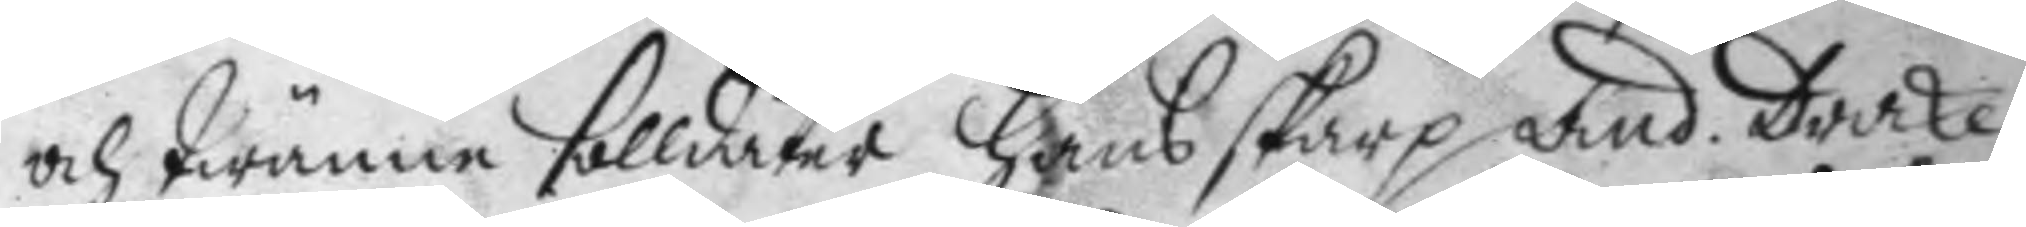och twänne solldater, hans skarp And. Drake
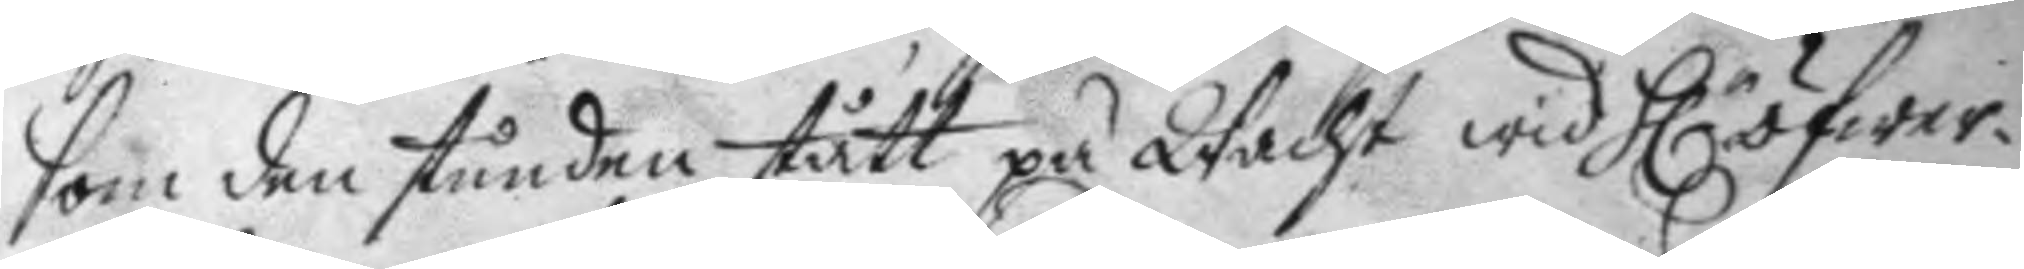som den stunden stått på Wacht wid H.r öfwer¬
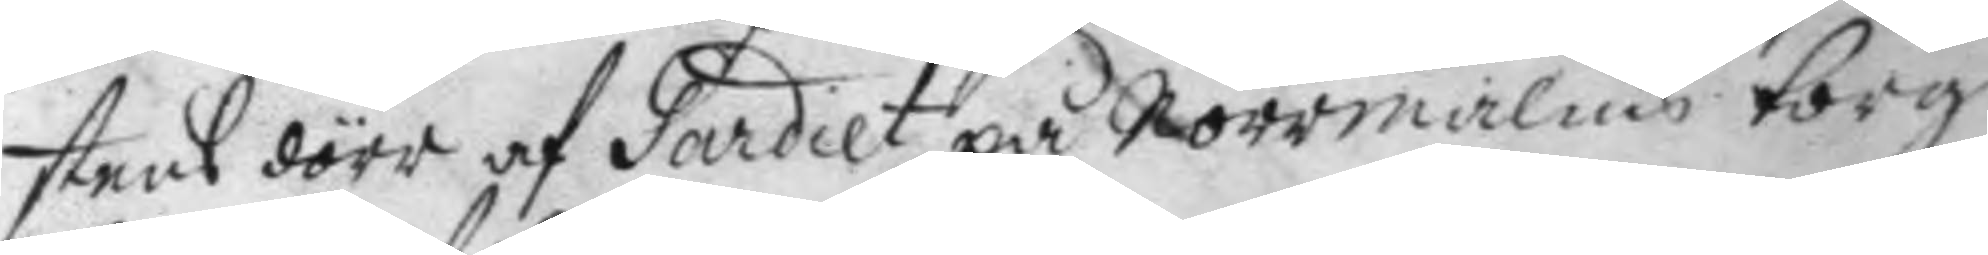stens dörr af Gardiet på norrmalms torg
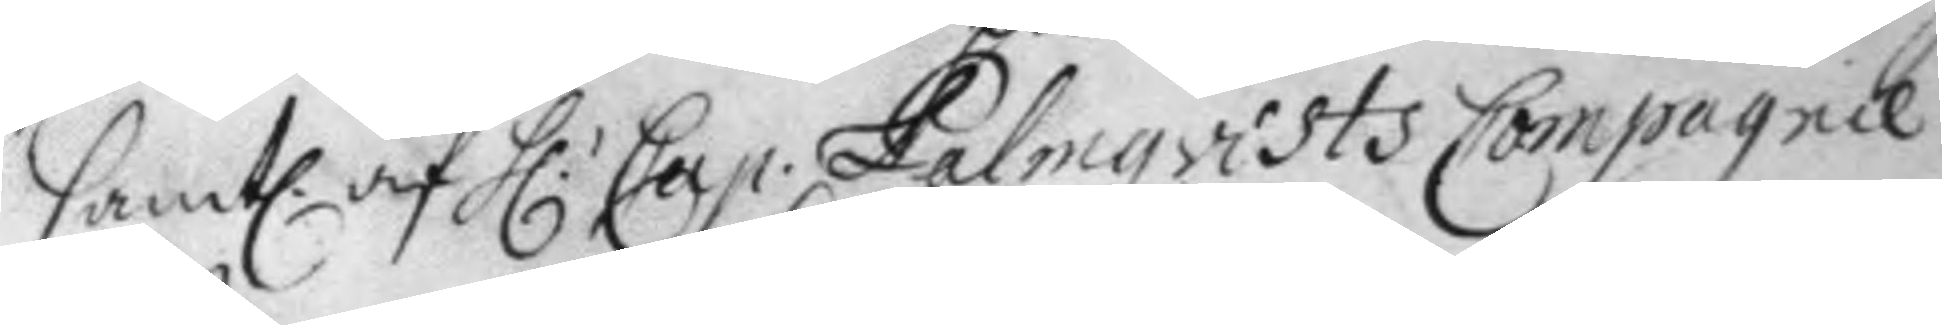samtl. af H.r Cap. Palmqvists Compagnie
